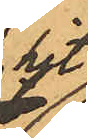hit
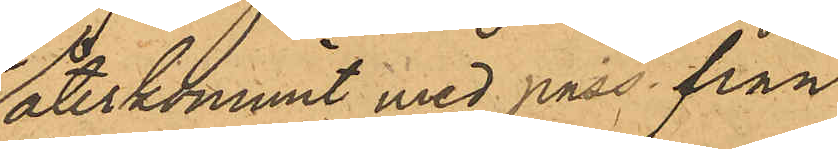återkommit med pass från
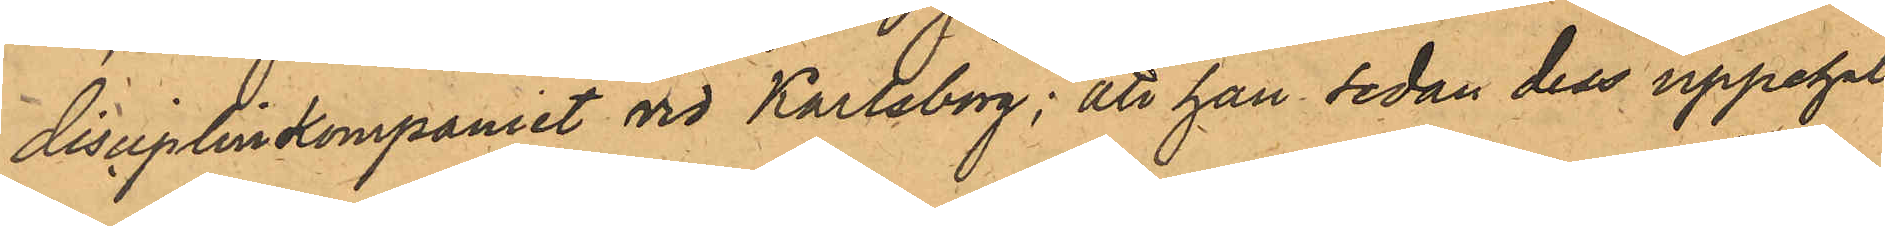disciplinkompaniet vid Karlsborg; att han sedan dess uppehål¬
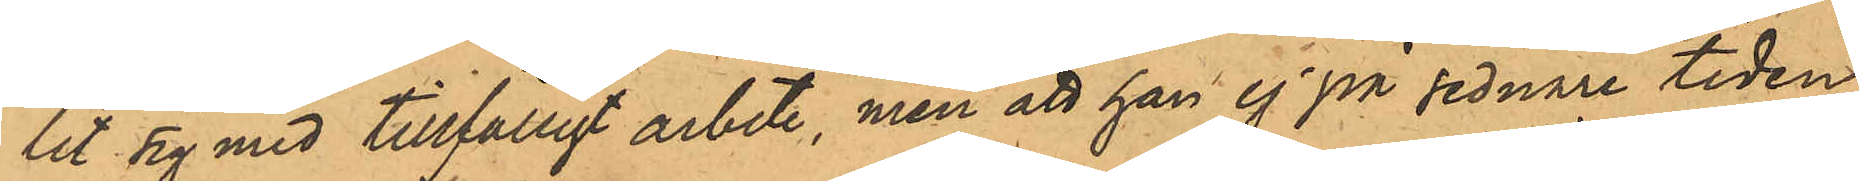lit sig med tillfälligt arbete, men att han ej på sednare tiden
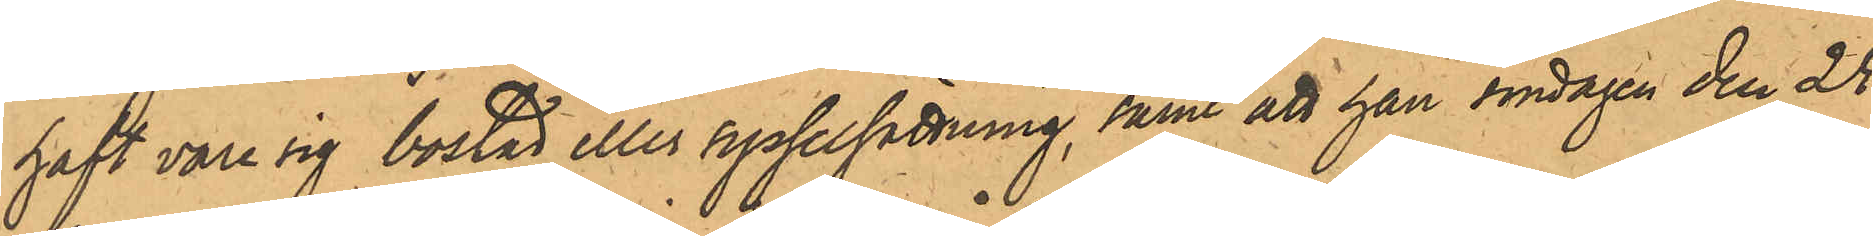haft vare sig bostad eller sysselsättning, samt att han söndagen den 25
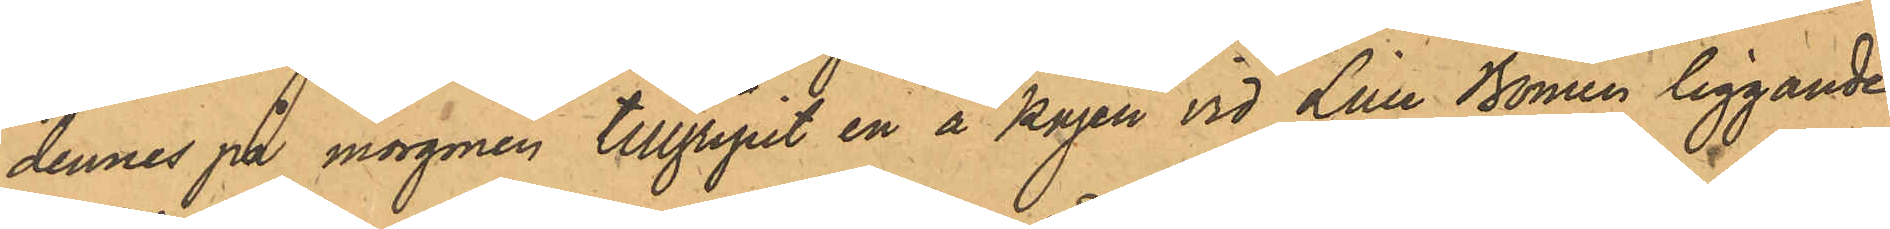dennes på morgonen tillgripit en å kajen vid Lille Bomen liggande
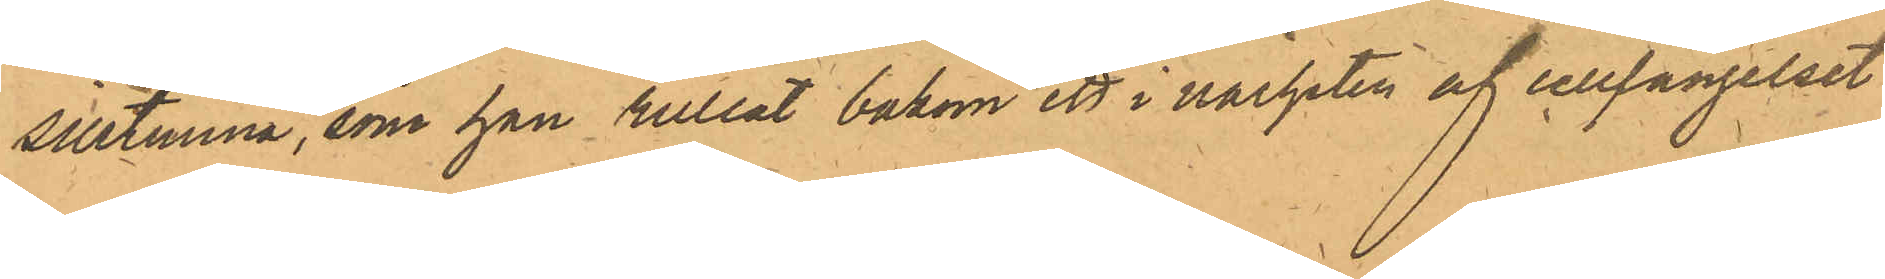silltunna, som han rullat bakom ett i närheten af cellfängelset
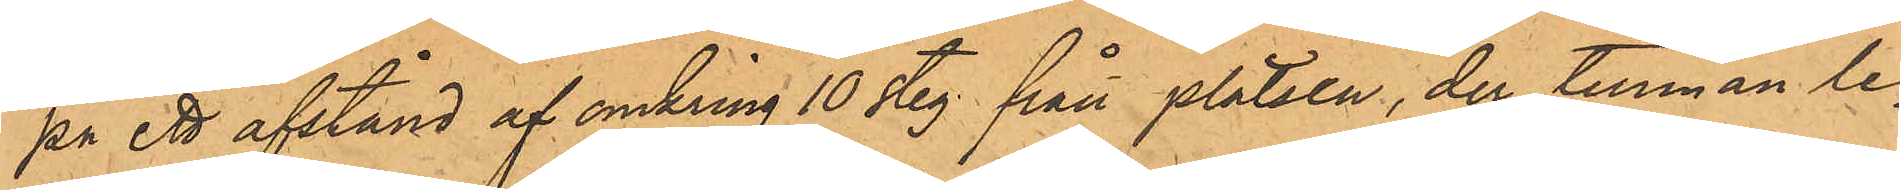på ett afstånd af omkring 10 steg från platsen, der tunnan le¬
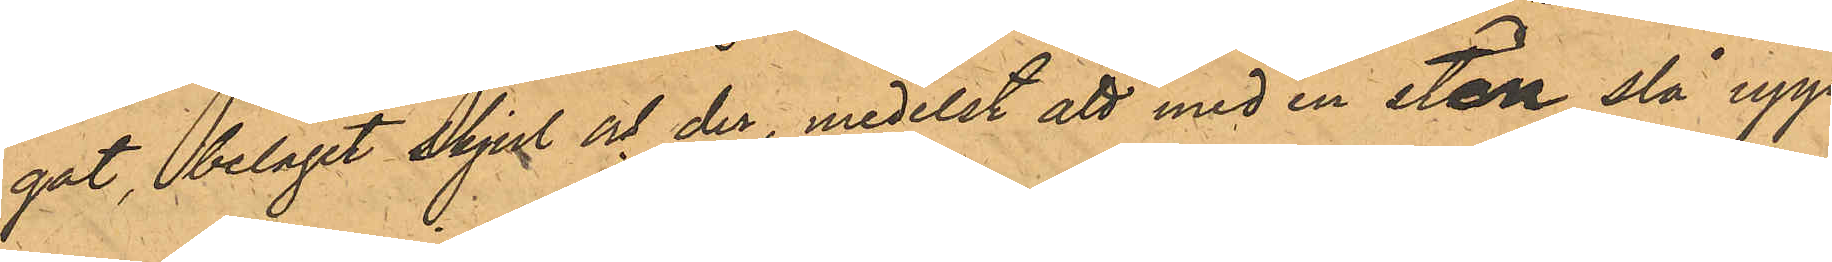gat, beläget skjul och der, medelst att med en sten slå upp
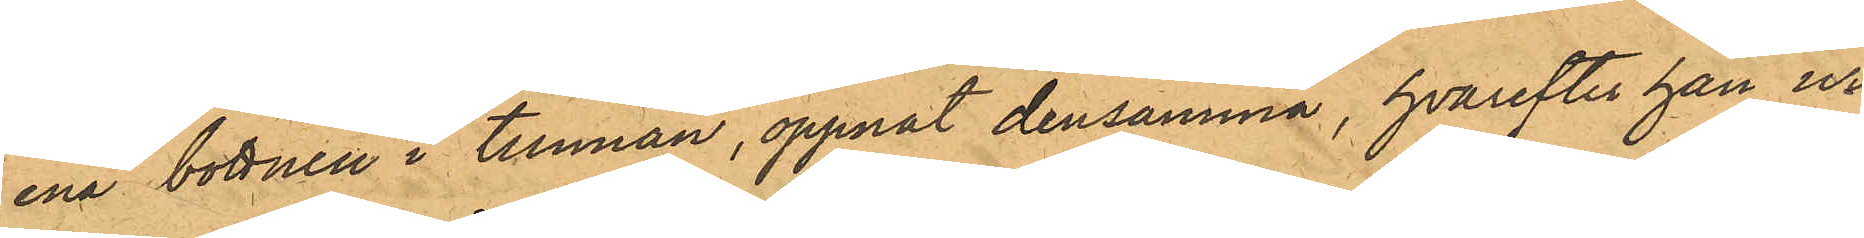ena bottnen i tunnan, öppnat densamma, hvarefter han ur
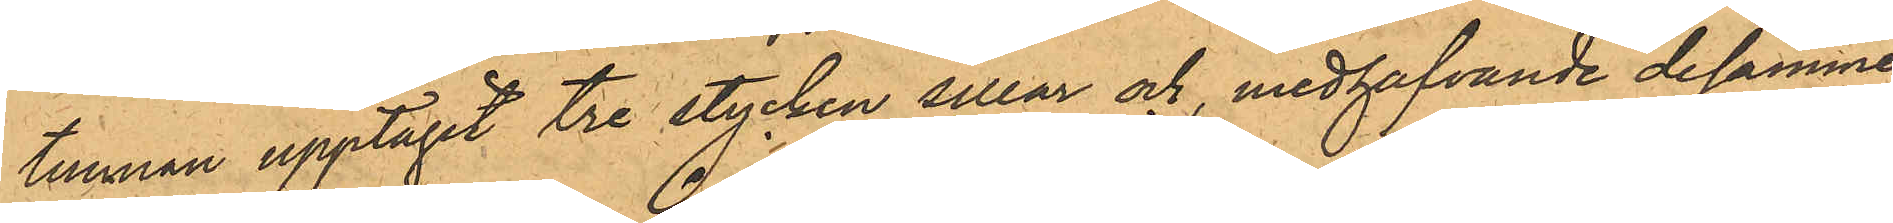tunnan upptagit tre stycken sillar och, medhafvande desamme
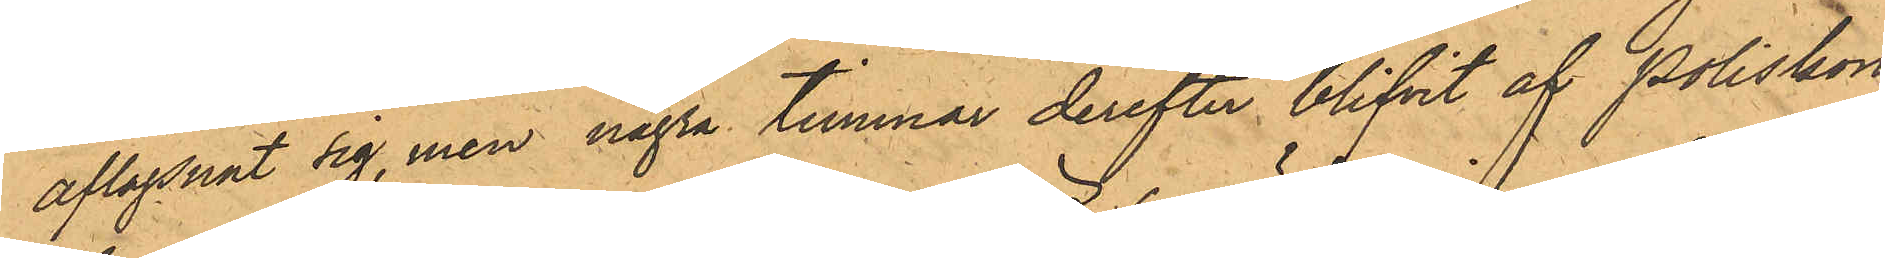aflägsnat sig, men några timmar derefter blifvit af Poliskon¬
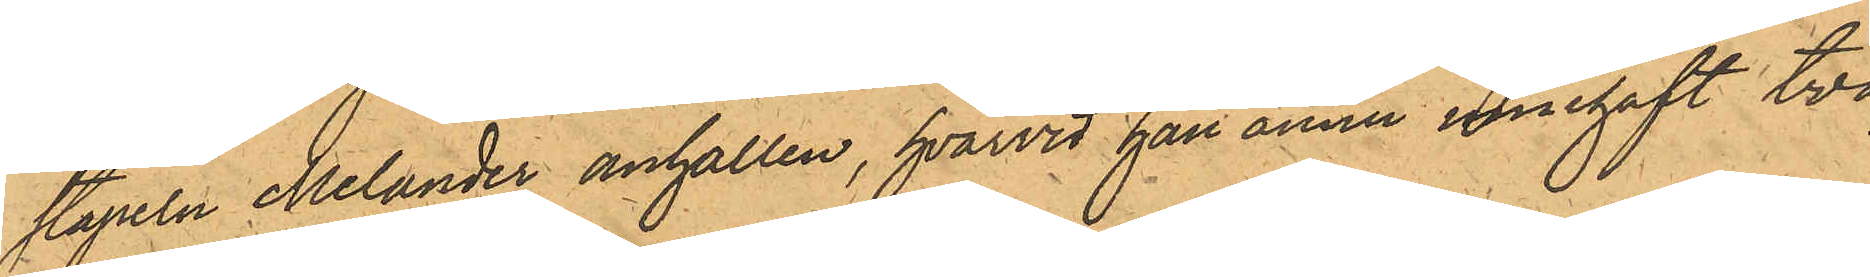stapeln Melander anhållen, hvarvid han ännu innehaft två
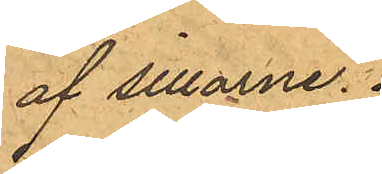af sillarne.
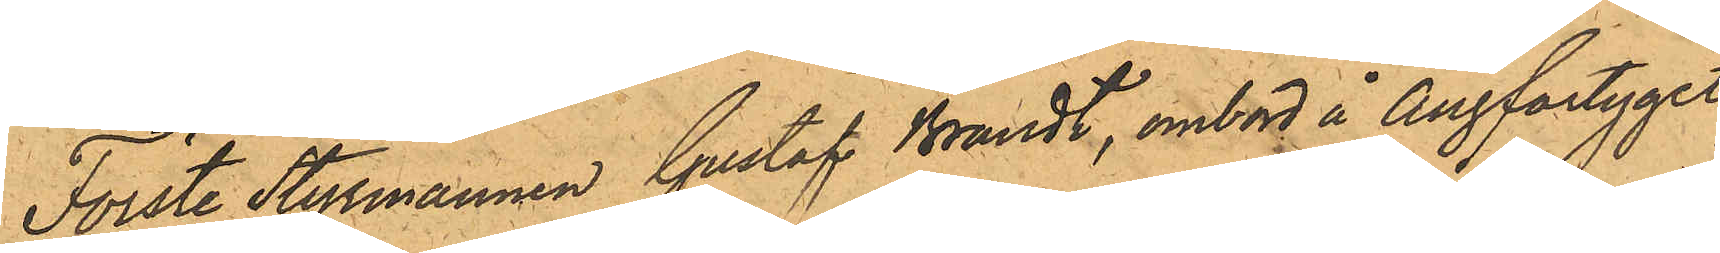Förste Styrmannen Gustaf Brandt, ombord å Ångfartyget
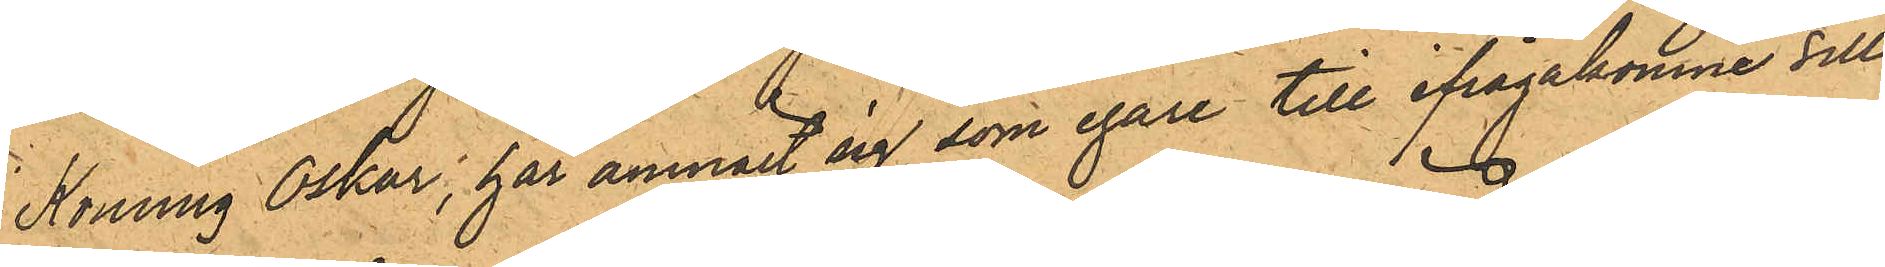Konung Oskar, har anmält sig som egare till ifrågakomne till¬
